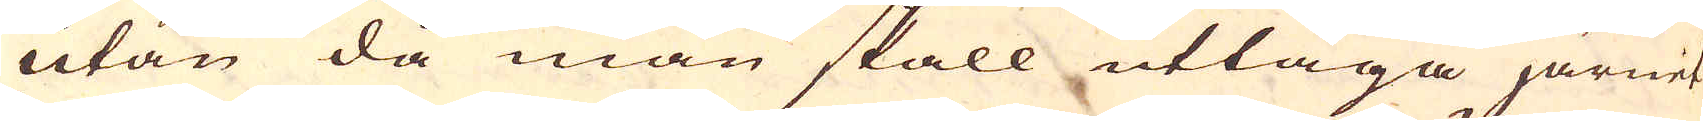utan då man skall uttaga järnet
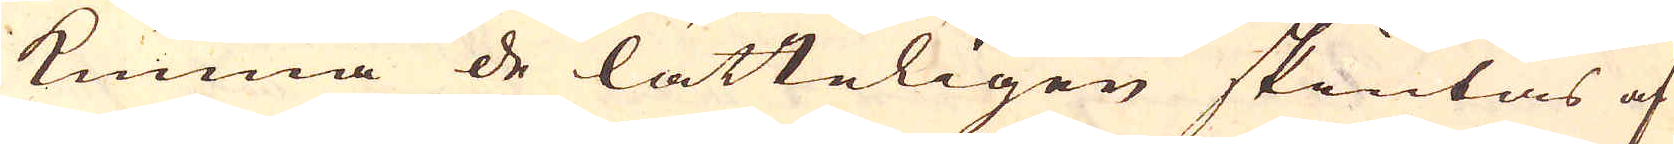kunna de lätteligen skiutas af
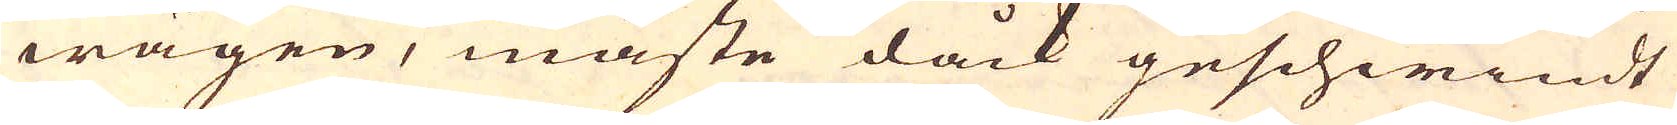wägen, måste dåck geschwindt
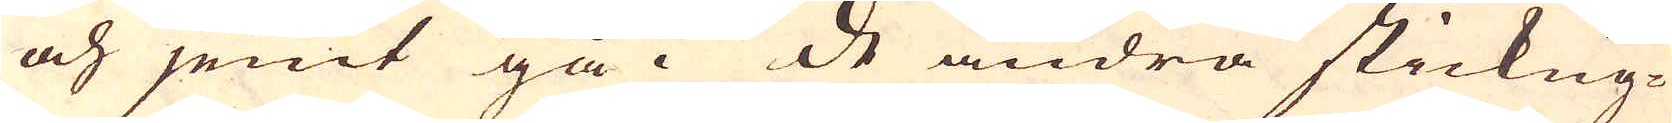och jemt gå. De andra stickug-
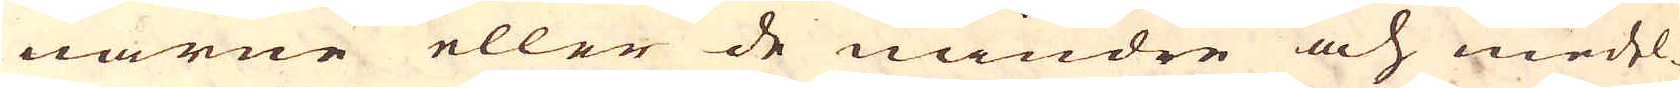narne eller de mindre och medel-
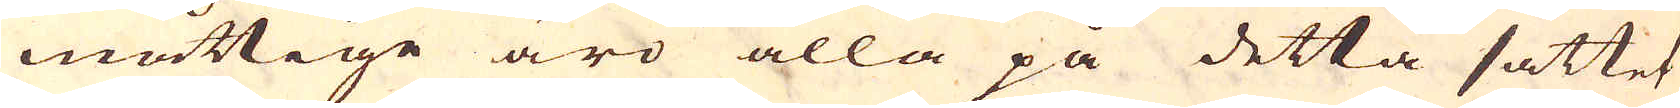måttige äro alla på detta sättet
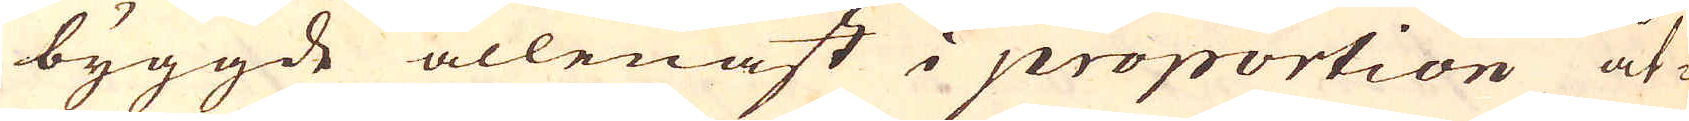byggde allenast i proportion åt-
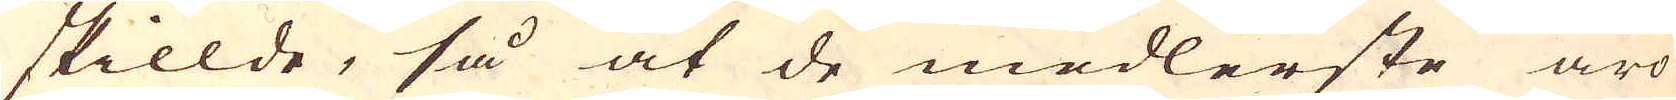skillde, så at de medlerste äro
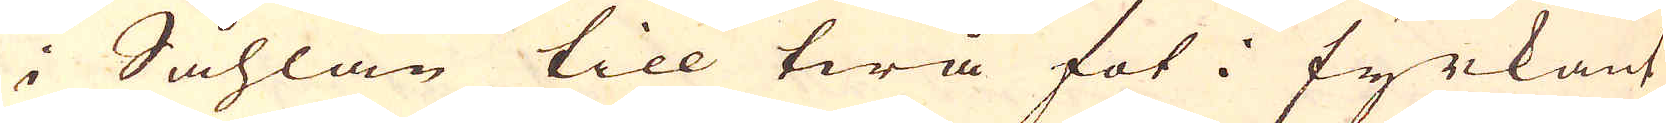i Såhlan till twå fot i fyrkant
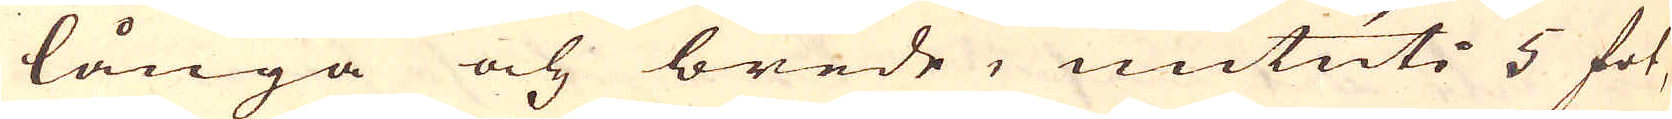långa och brede, mituti 5 fot,
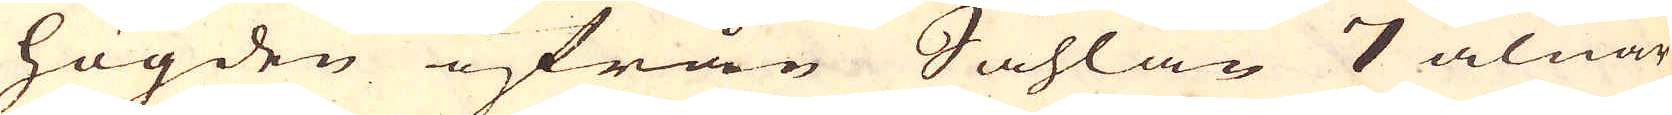högden ifrån Såhlan 7 alnar.
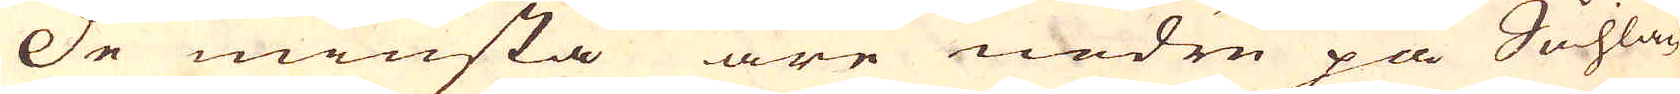De minsta äre nedre pån Såhlan
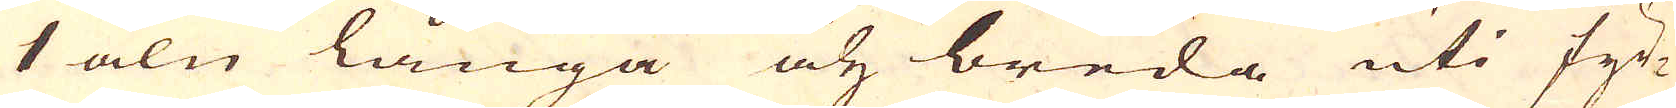1 aln långa och breda uti fyr-
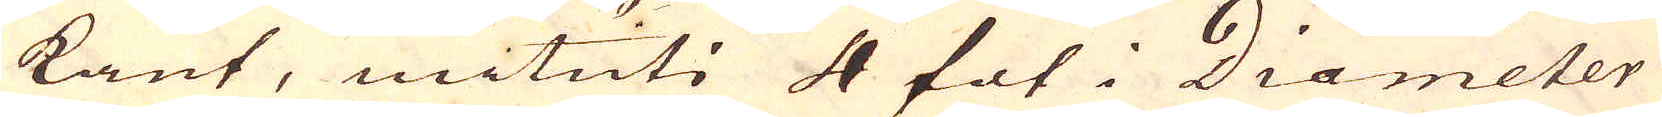kant, mituti 4 fot i Diameter
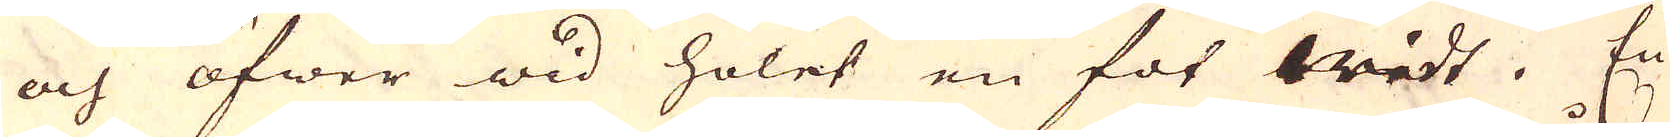och öfwer wid holet en fot widt. En
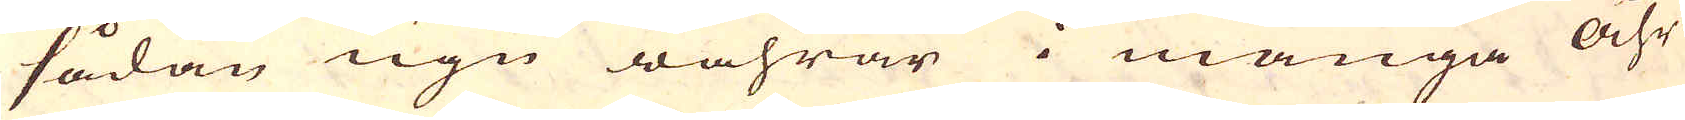sådan ugn wahrar i många åhr
